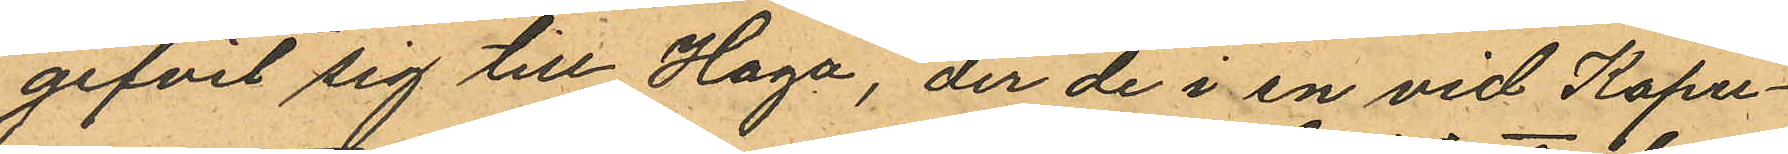gifvit sig till Haga, der de i en vid Kapu¬
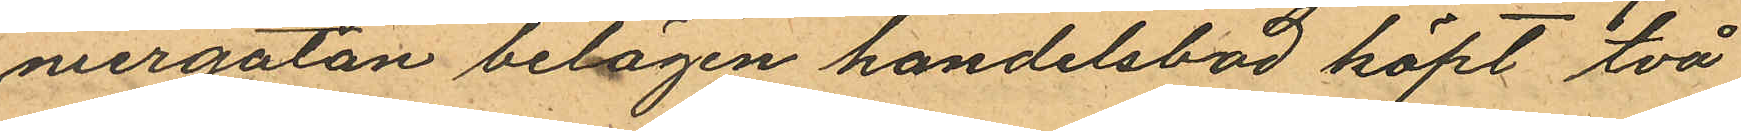niergatan belägen handelsbod köpt två
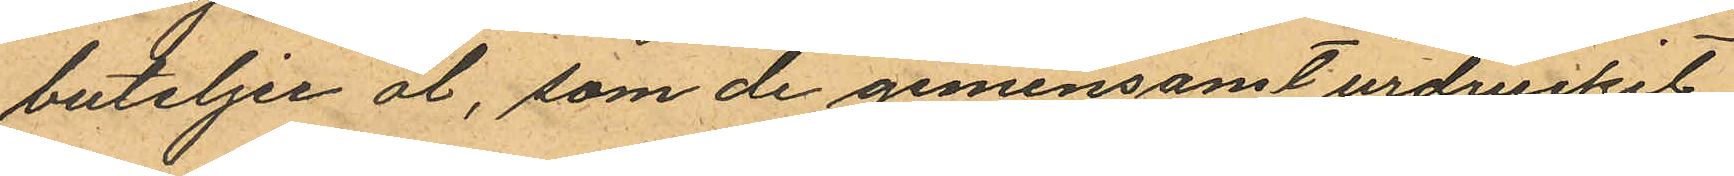buteljer öl, som de gemensamt urdruckit
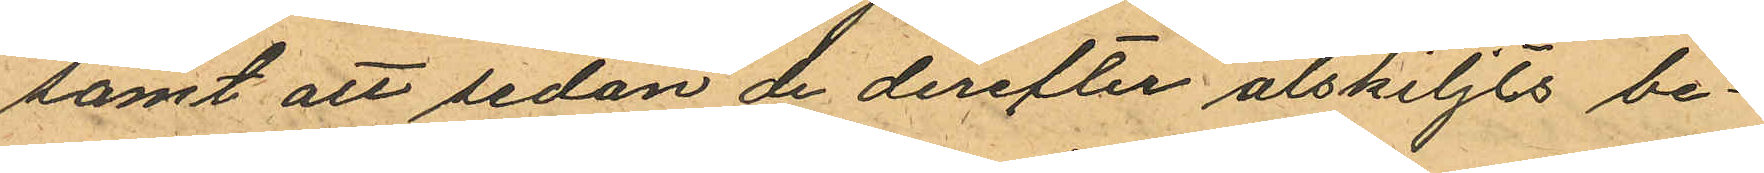samt att sedan de derefter ålskiljts be¬
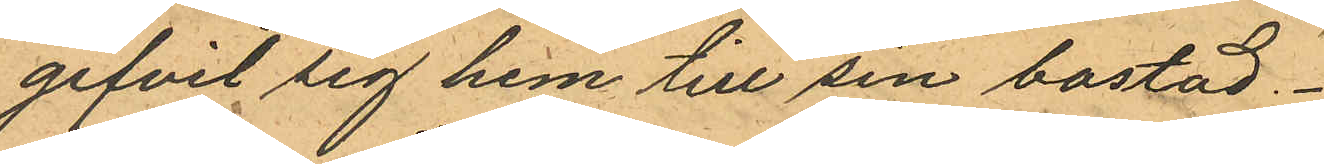gifvit sig hem till sin bostad.
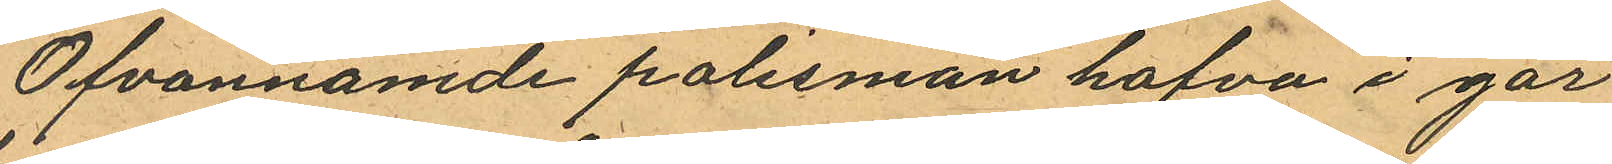Ofvannämde polismän hafva i går
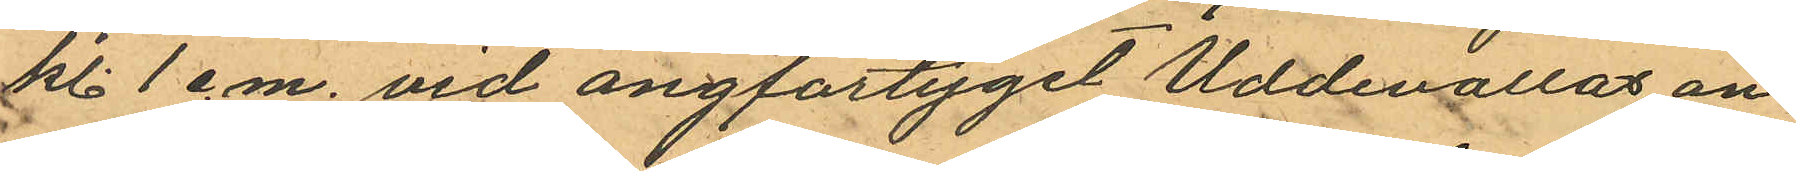kl. 1 e.m. vid ångfartyget Uddevallas an¬
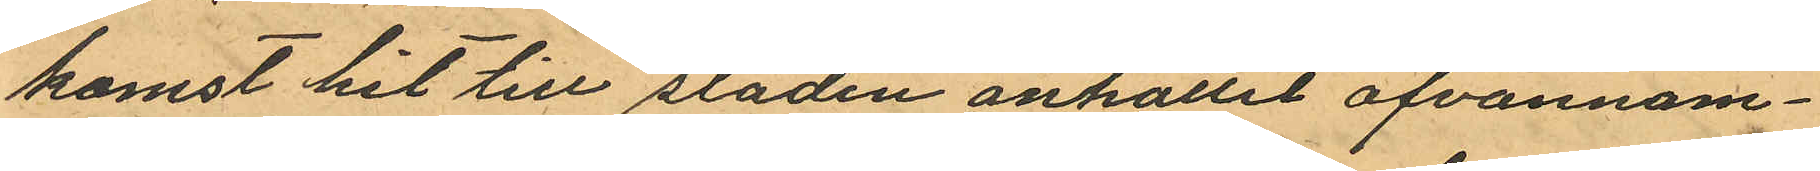komst hit till staden anhållit ofvannäm¬
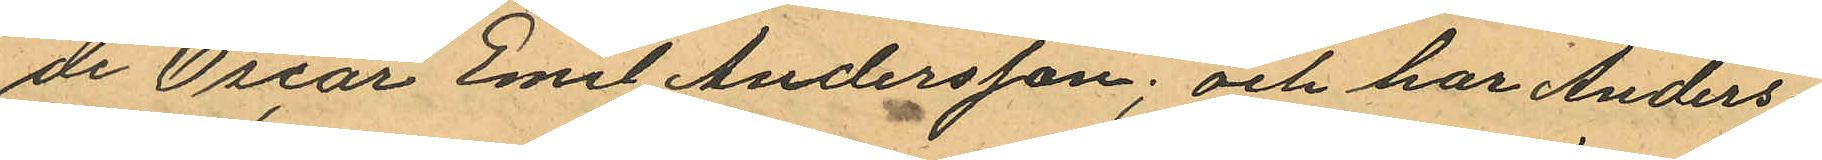de Oscar Emil Andersson; och har Anders¬
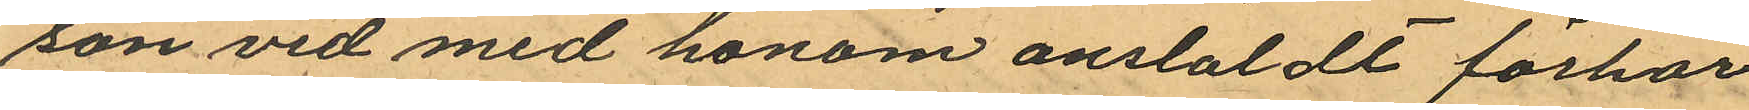son vid med honom anslaldt förhör
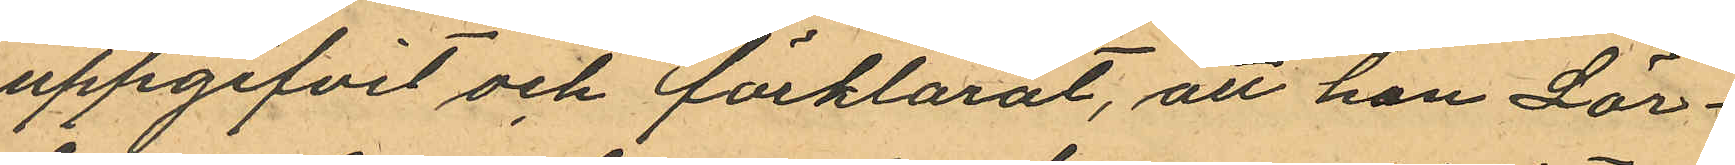uppgifvit och förklarat, att han Lör¬
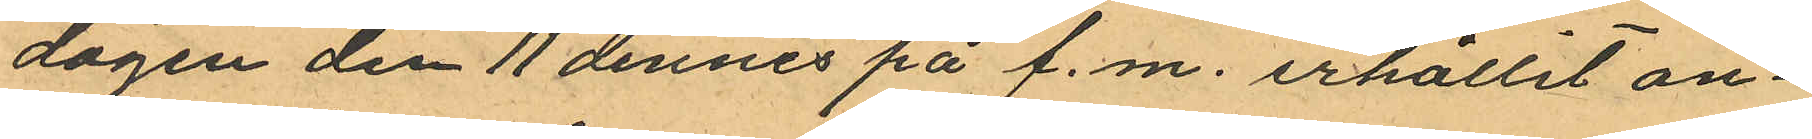dagen den 11 dennes på f.m. erhållit an¬
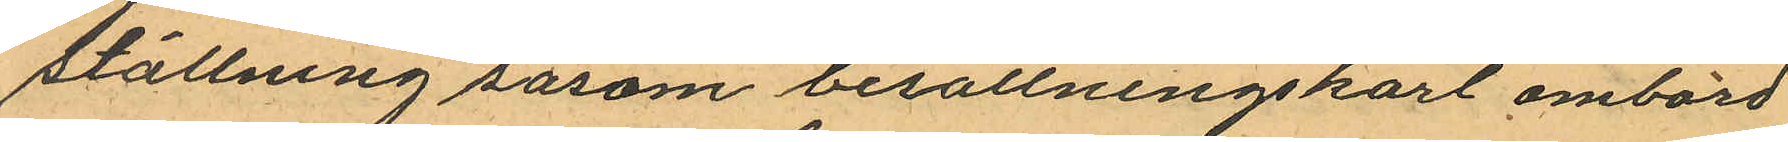ställning såsom besättningskarl ombord
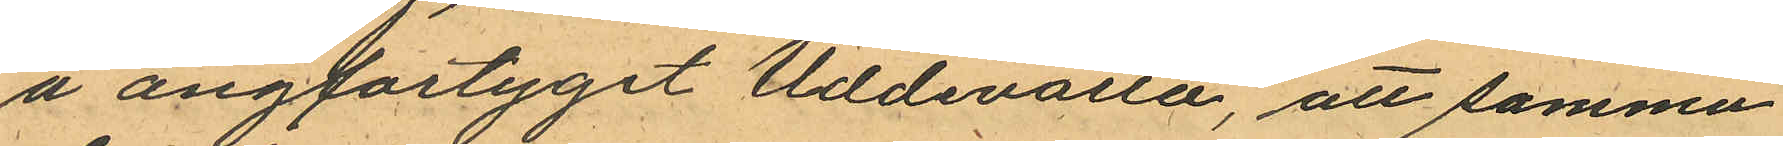å ångfartyget Uddevalla, att samma
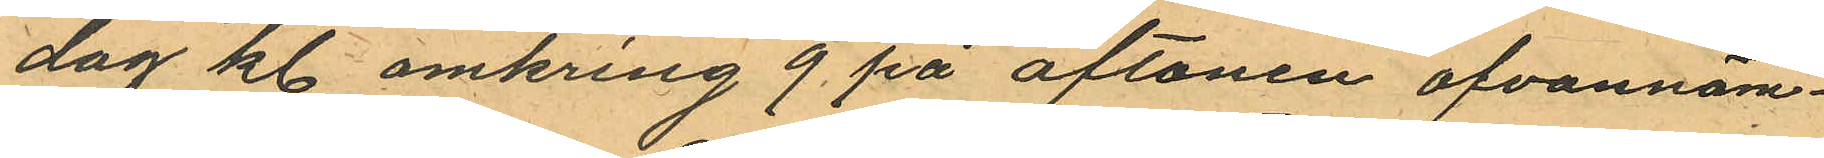dag kl. omkring 9 på aftonen ofvannäm¬
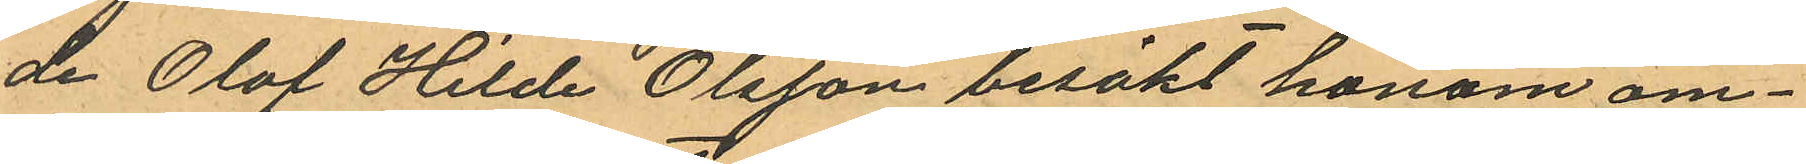de Olof Hilde Olsson besökt honom om¬
